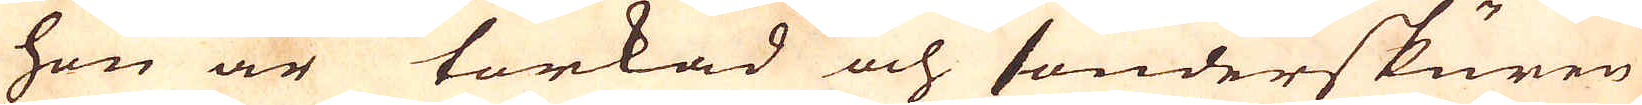hon är torkad och sönderskuren
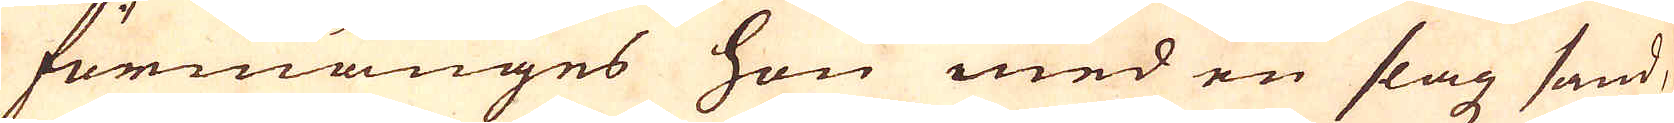förmänges hon med en slagz sand,
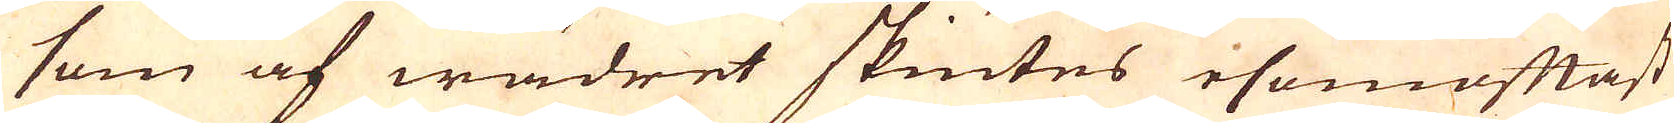som af wädret skiutes esomoftast
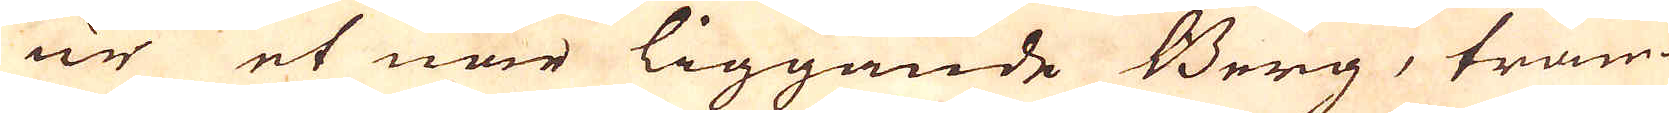ur et när liggande Berg, tram-
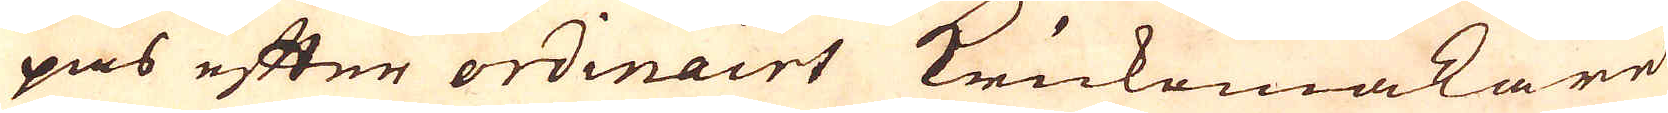pas efter ordinairt Krukemakare
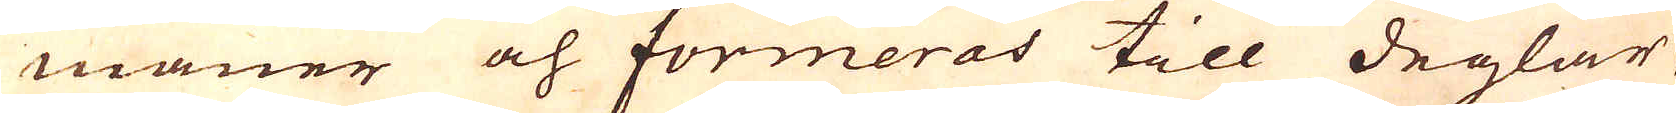maner och formeras till deglar,
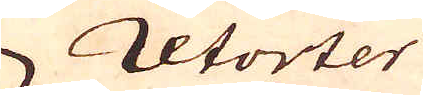retorter
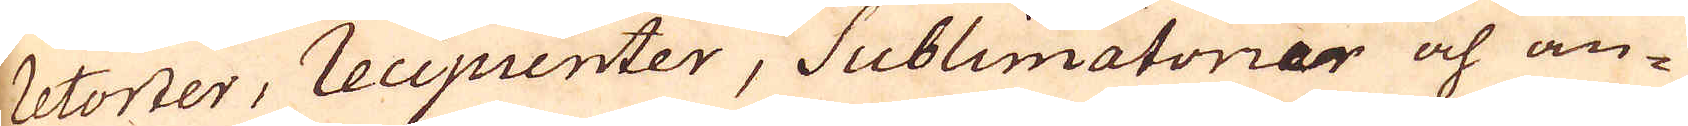retorter, recipienter, Sublimatorier och an-
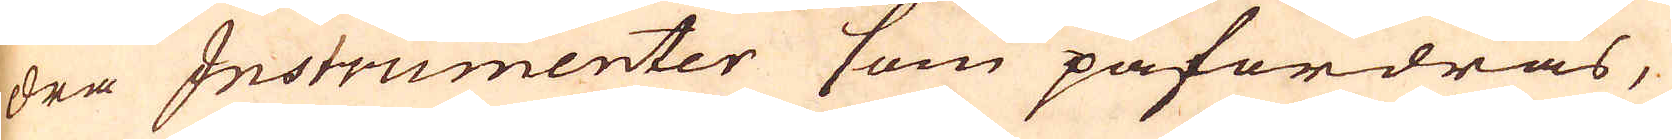dra Instrumenter som påfordras,
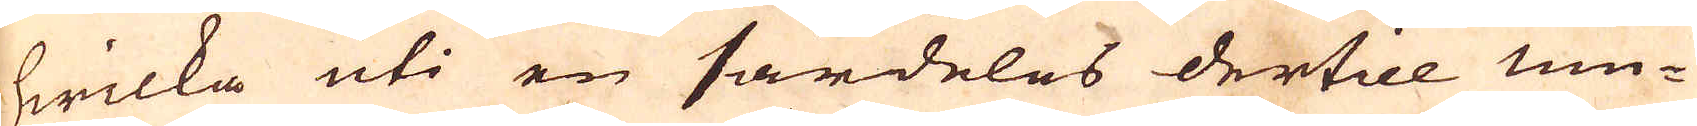hwilka uti en särdeles dertill mu-
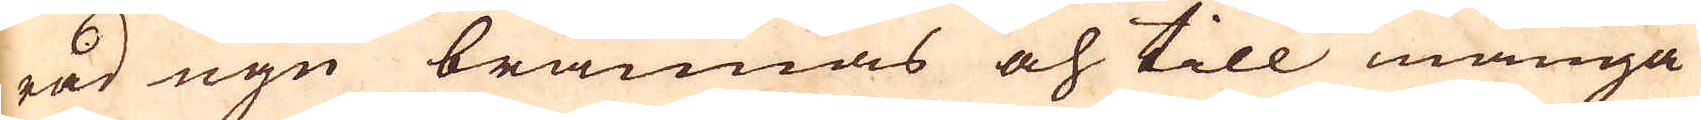rad ugn brännas och till många
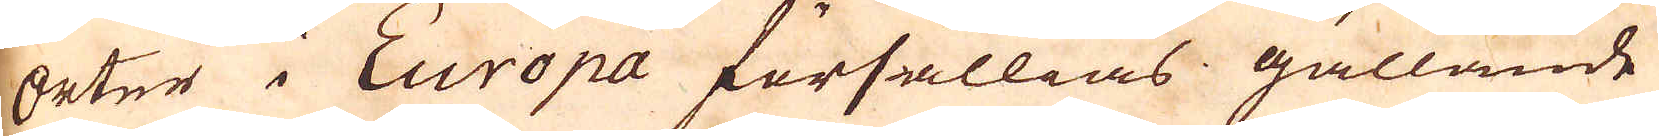Orter i Europa försällias gällande
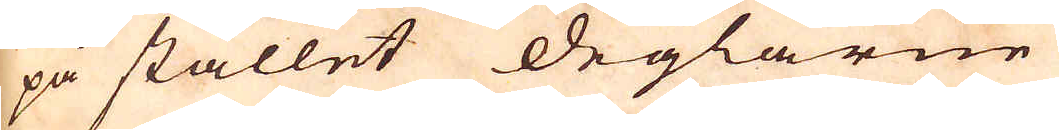på stället deglarne
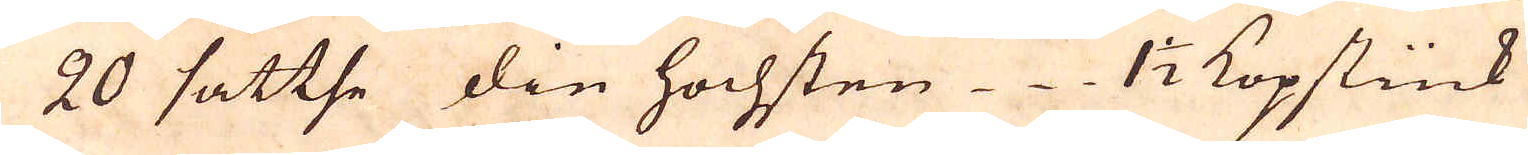20 sattse die hochsten 1 1/2 Kopstück
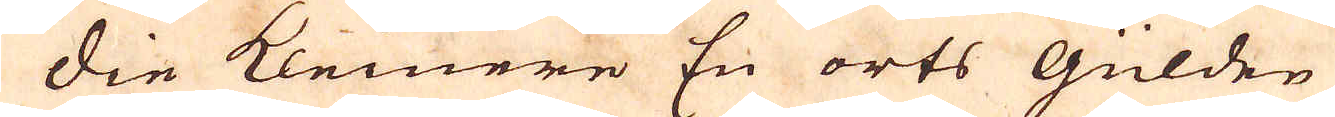Die Kleinere En orts Gülden
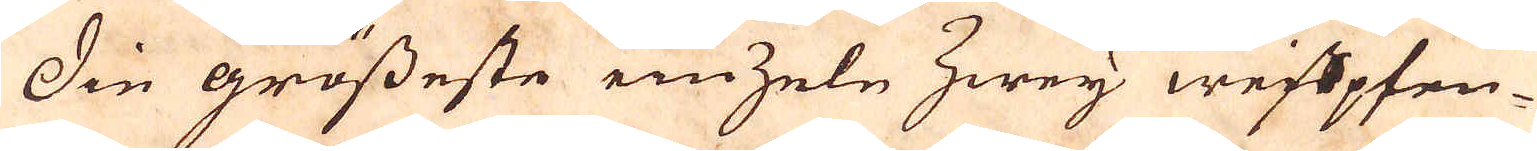Die grösseste ein zele Zwey weispfen-
